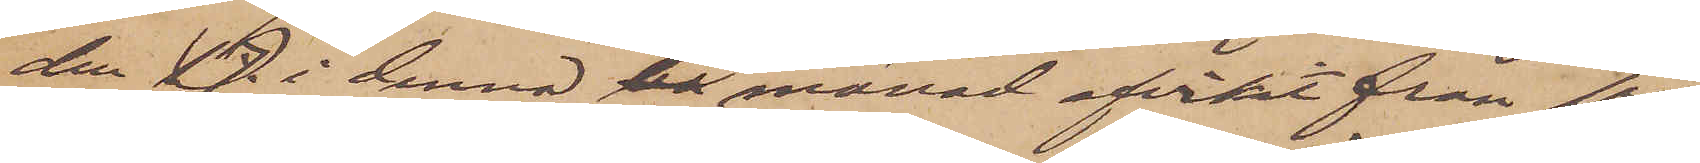den 17. i denna ba månad afvikit från sin
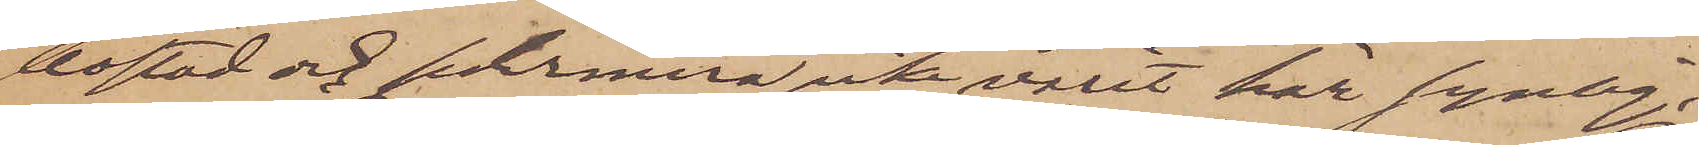bostad och sedermera icke varit här synlig;
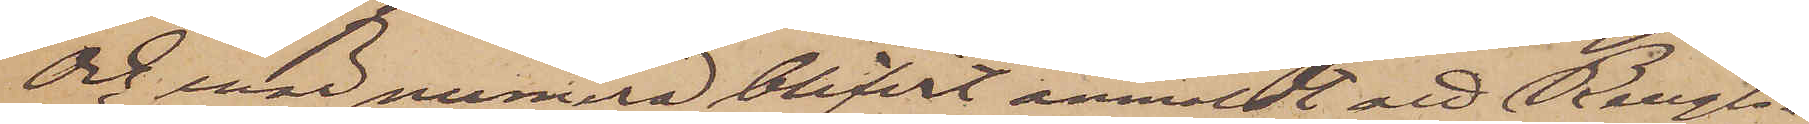Och enär numera blifvit anmäldt att Bengts¬
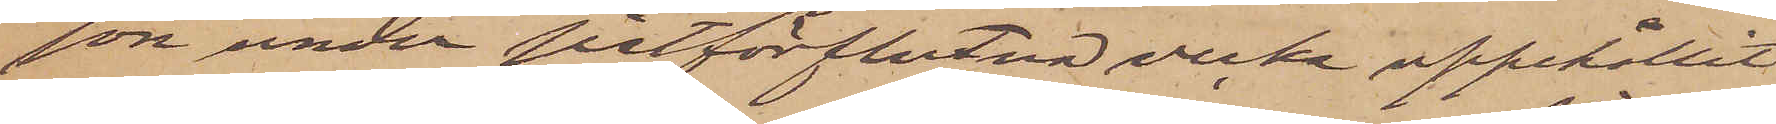son under sistförflutna vecka uppehållit
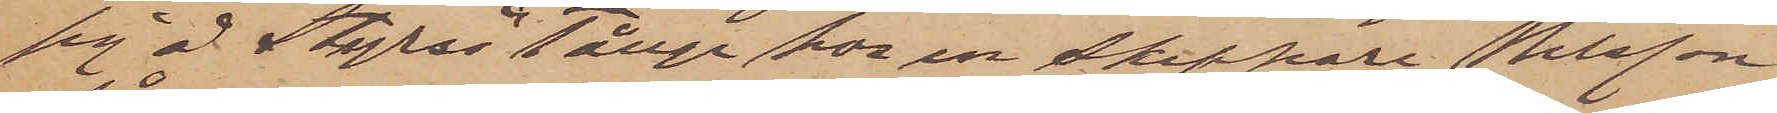sig å Styrsö Tånge hos en skeppare Nilsson,
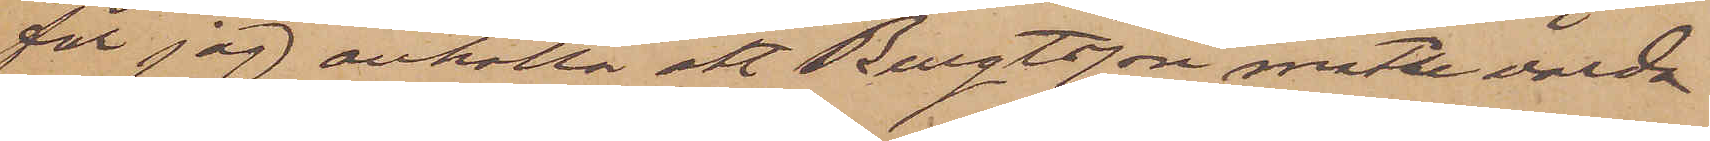får jag anhålla att Bengtsson måtte varda
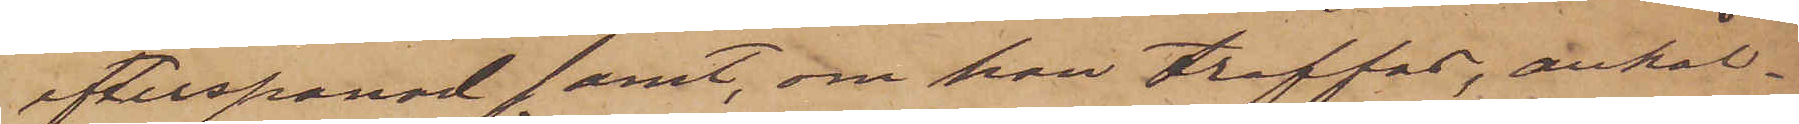efterspanad samt, om han träffas, anhål¬
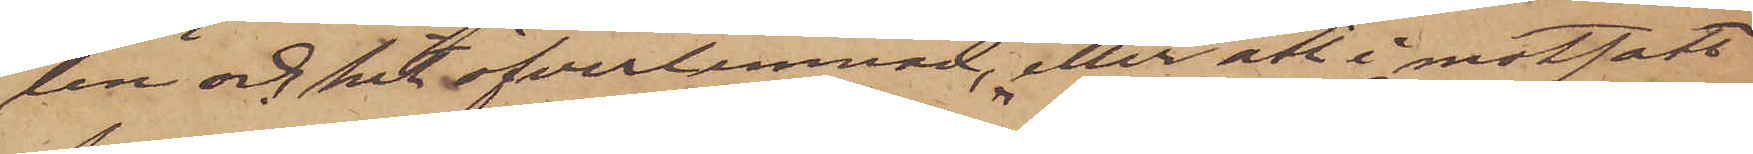len och hit öfverlemnad, eller att i motsatt
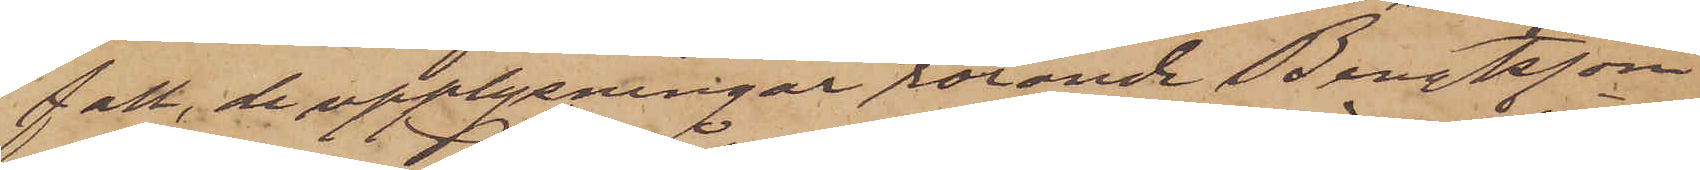fall, de upplysningar rörande Bengtsson
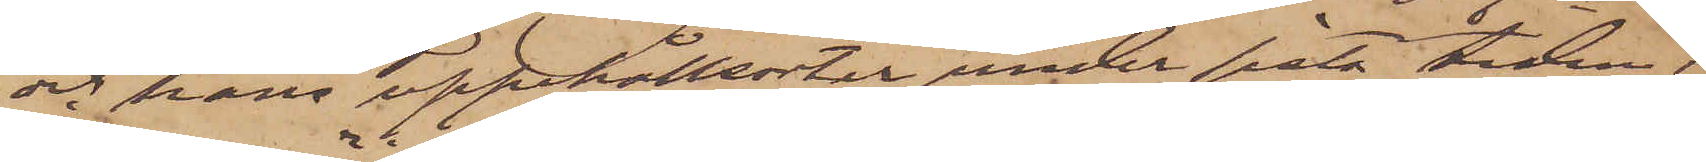och hans uppehållsorter, under sista tiden,
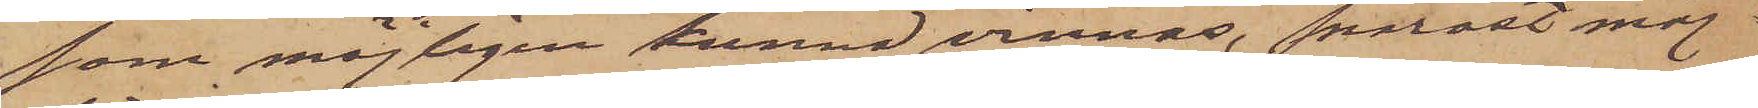som möjligen kunna vinnas, snarast möj¬
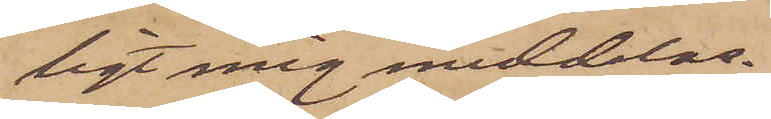ligt mig meddelas.
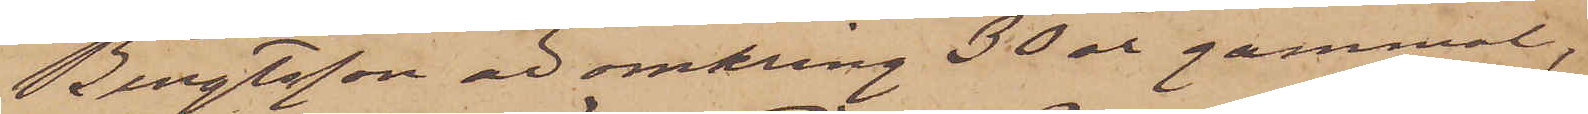Bengtsson är omkring 30 år gammal,
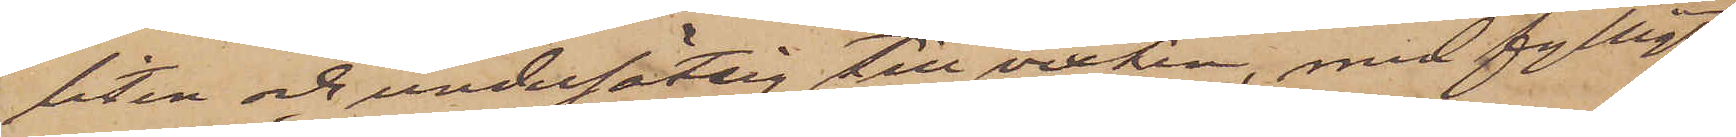liten och undersätsig till vexten, med fylligt
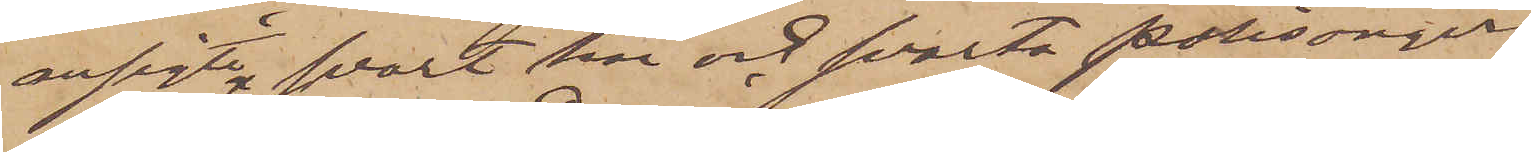ansigte svart hår och svarta polisonger.
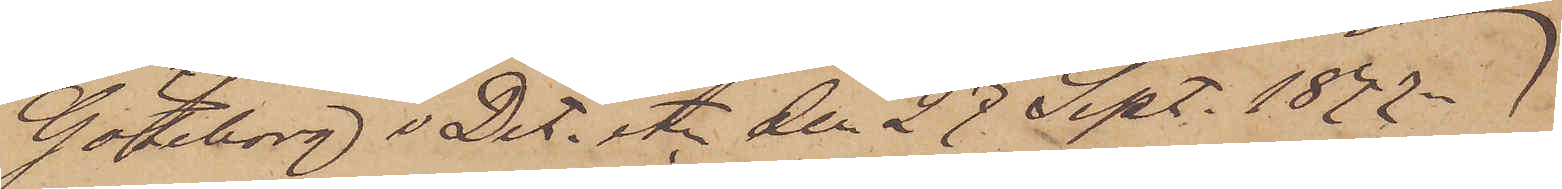Göteborg o Det. etc den 27 Sept. 1877.
